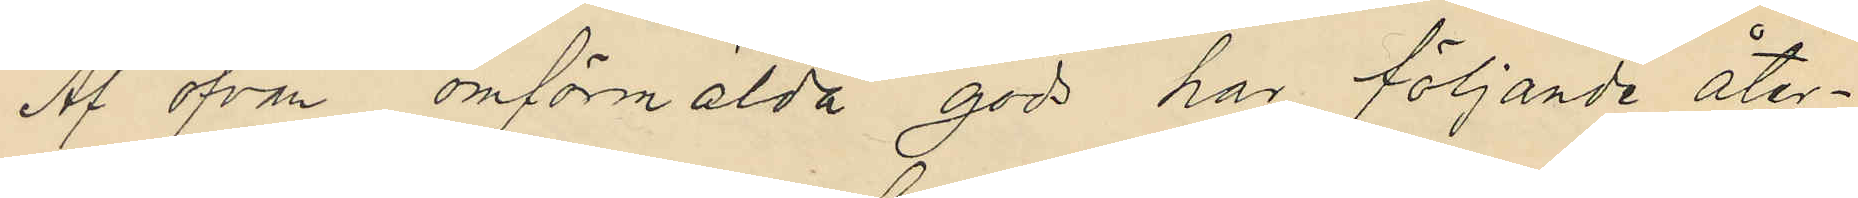Af ofvan omförmälda gods har följande åter¬
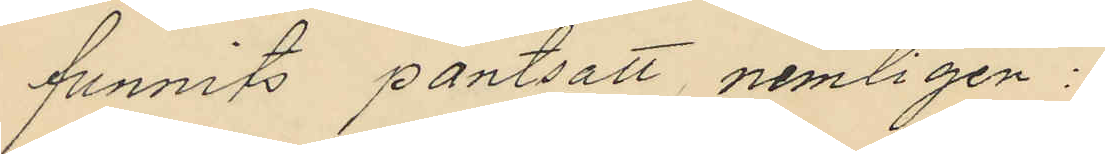funnits pantsatt nemligen:
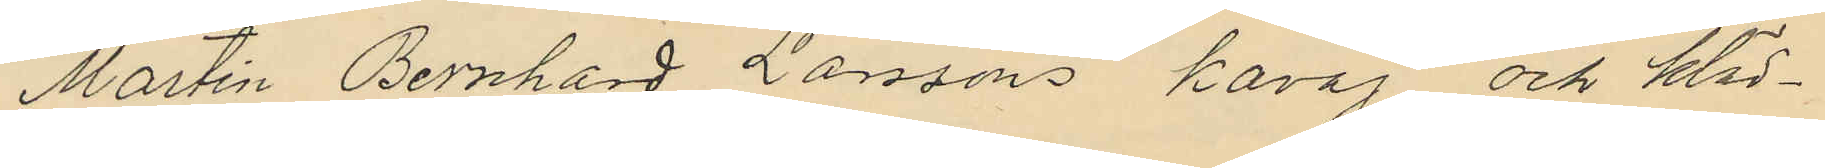Martin Bernhard Larssons kavaj och kläd¬
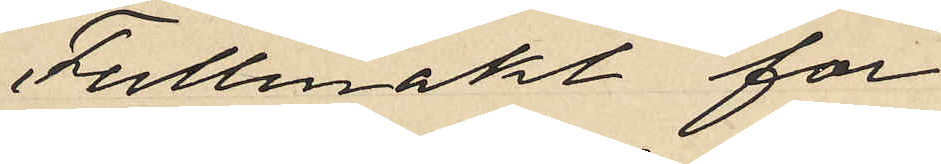Fullmakt för
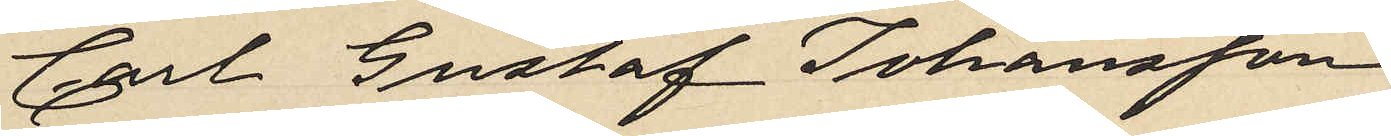Carl Gustaf Johansson
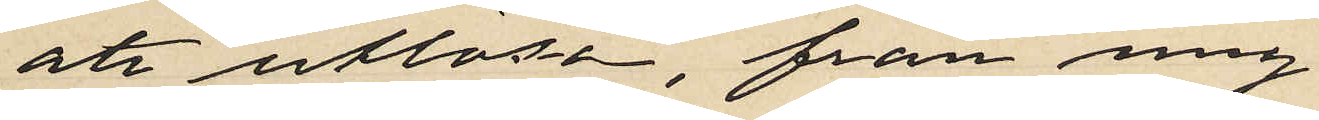att utlösa, från mig
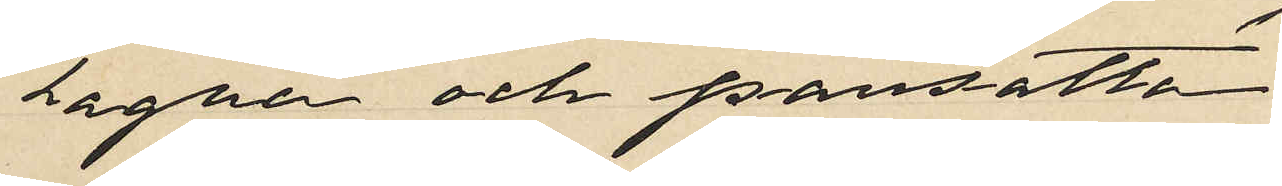tagna och pansatta
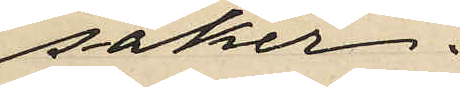saker.
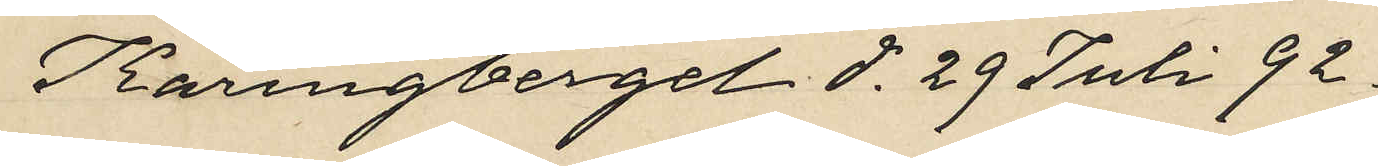Käringberget d. 29 Juli 92.
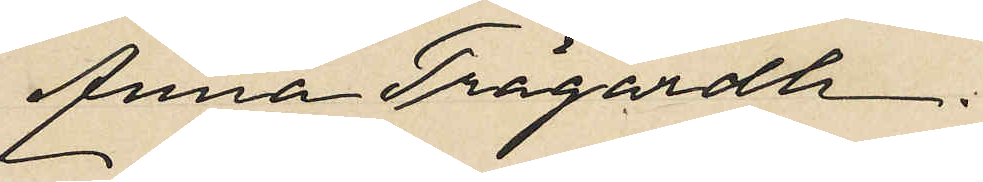Anna Trägardh.
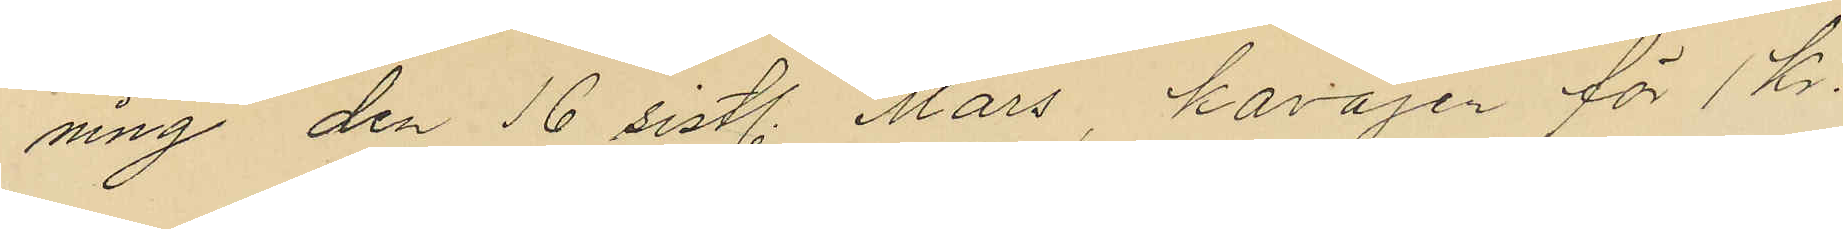ning den 16 sistl. Mars, kavajen för 1 Kr.
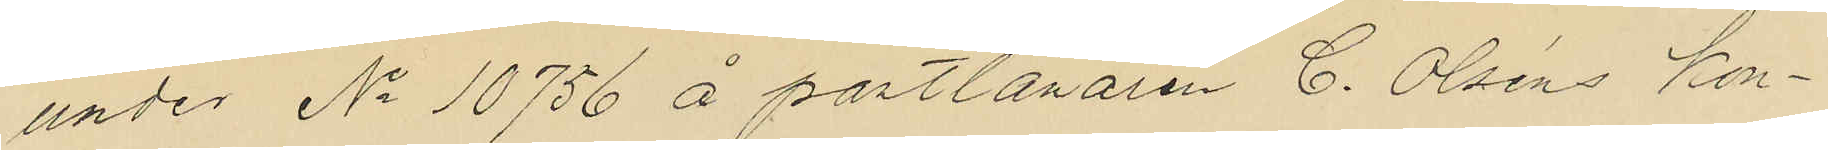under No 10756 å pantlånaren C. Olséns kon¬
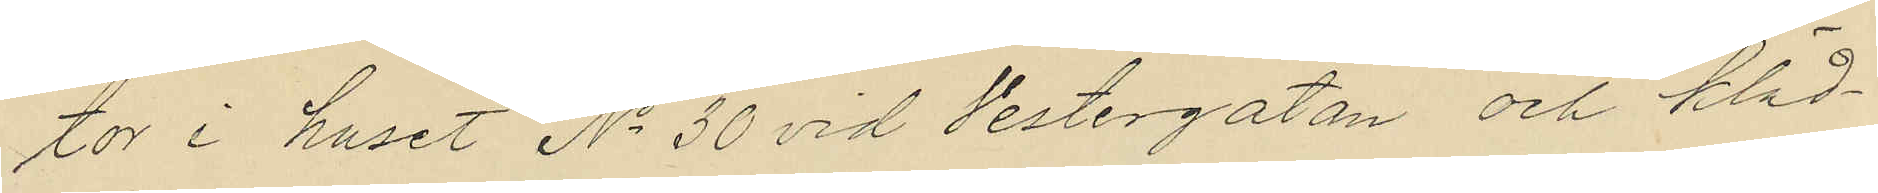tor i huset No 30 vid Vestergatan och kläd¬
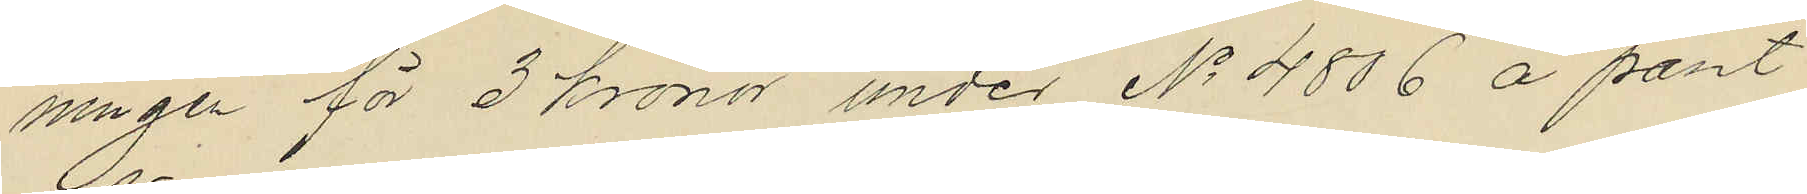ningen för 3 kronor under No 4806 å pant
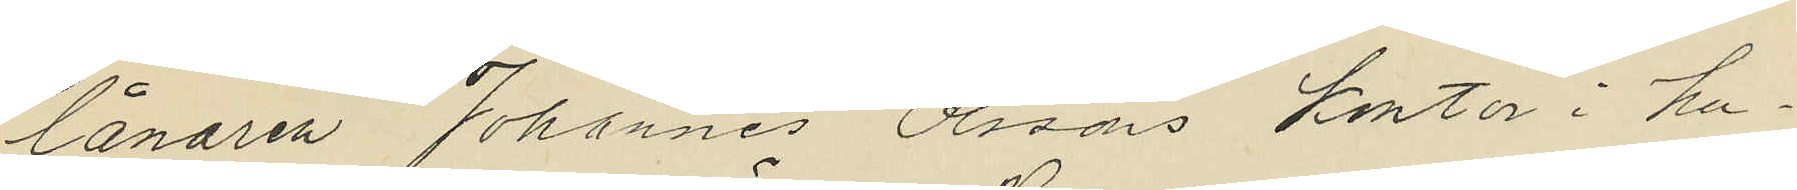lånaren Johannes Olssons kontor i hu¬
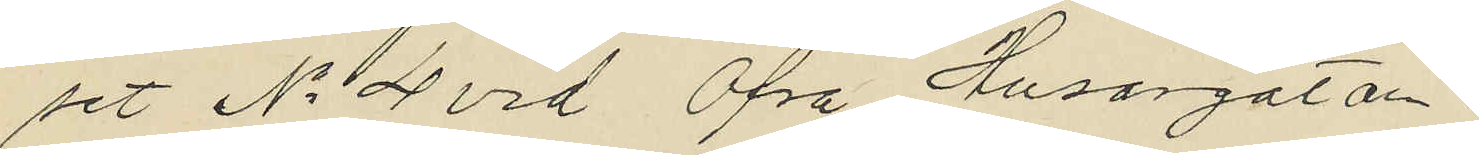set No 4 vid Öfra Husargatan
